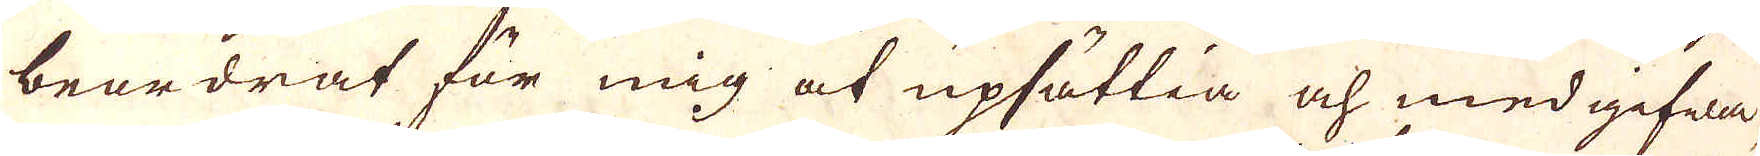beordrat för mig at upsättia och medgifwa.
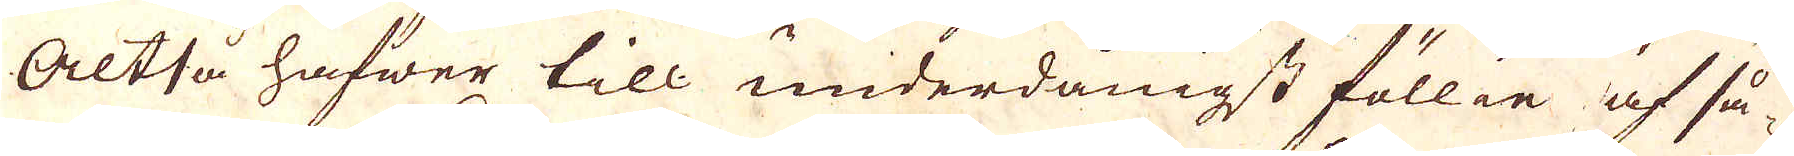Altså hafwer till underdånigst föllie af så-
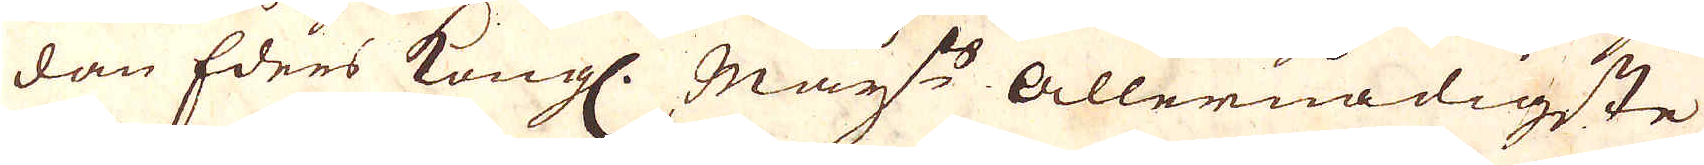dan Eders Kungl. May:ts Allernådigste
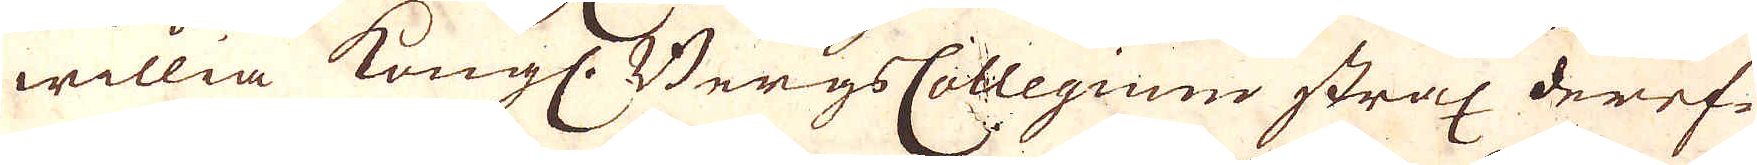willia Kungl. BergsCollegium strax deref-
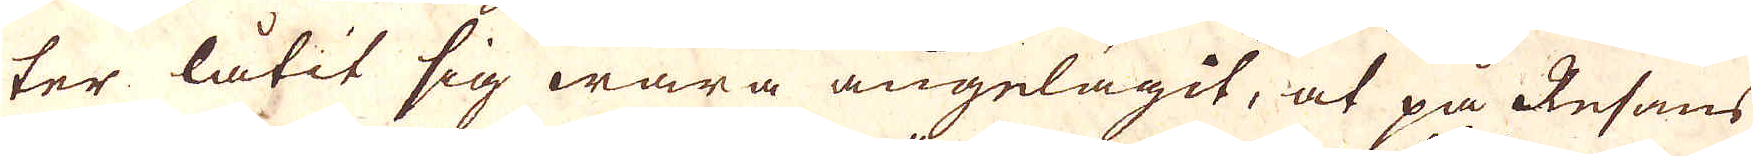ter låtit sig wara angelägit, at på Resans
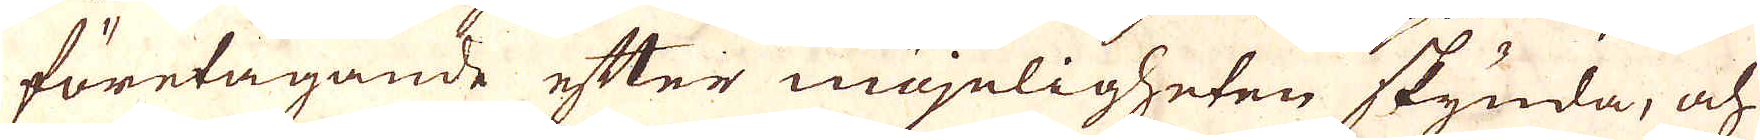företagande efter möjeligheten skynda, och
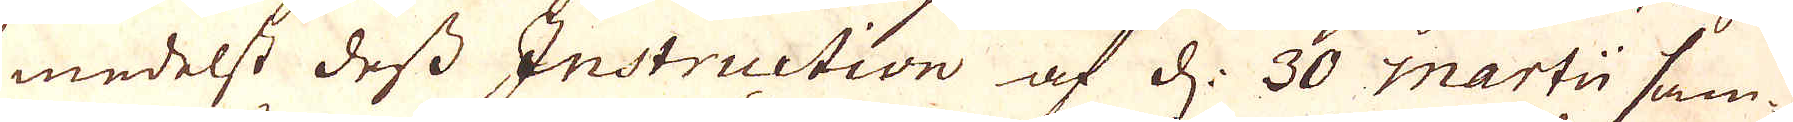medelst dess Instruction af d. 30 martii sam-
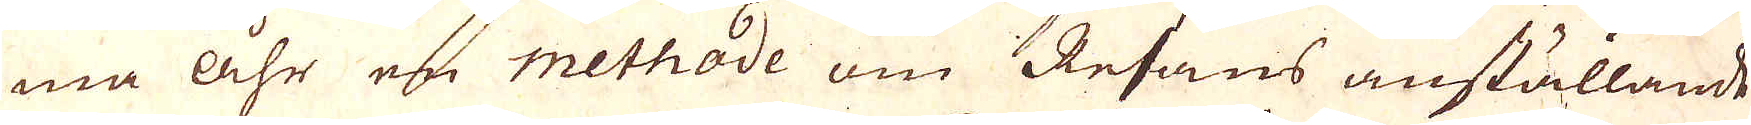ma åhr en methode om Resans anställande
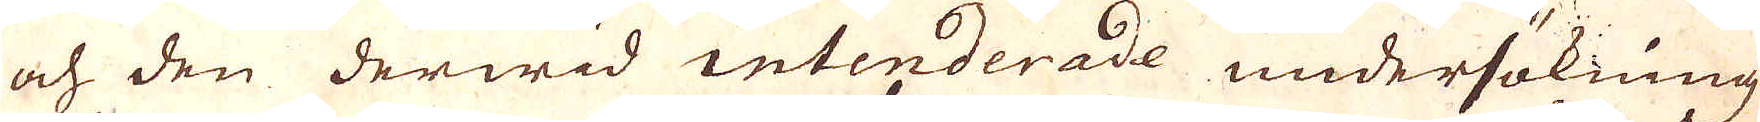och den derwid intenderade undersökning
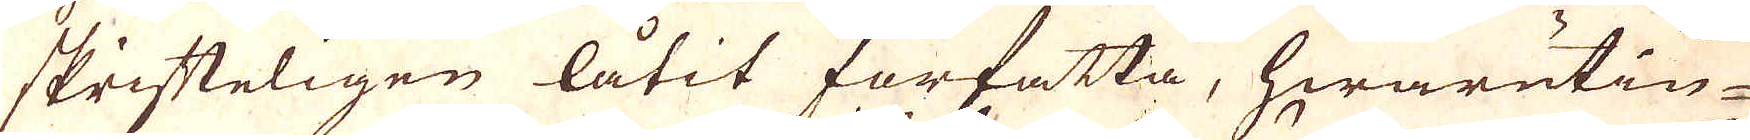skrifteligen låtit författa, hwarutin-
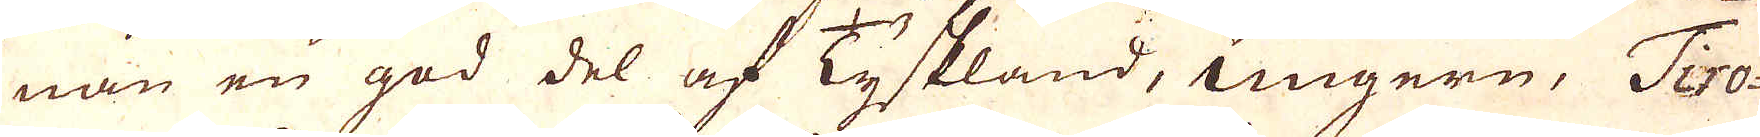nan en god del af Tyskland, Ungern, Tiro-
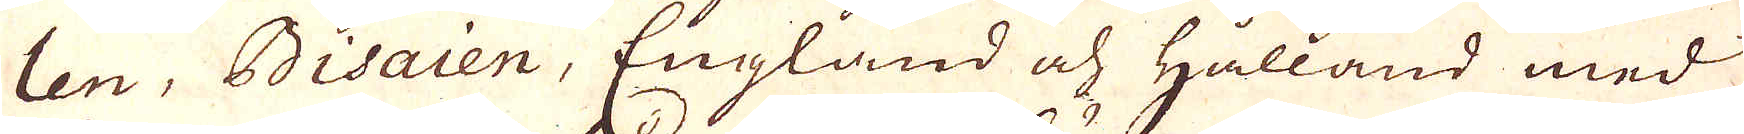len, Bisaien, England och Hålland med
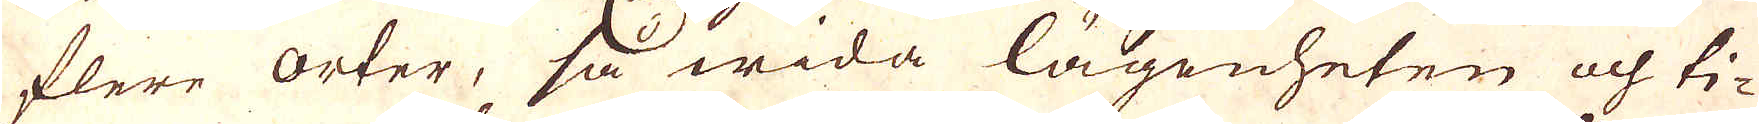flere orter, så wida lägenheten och ti-
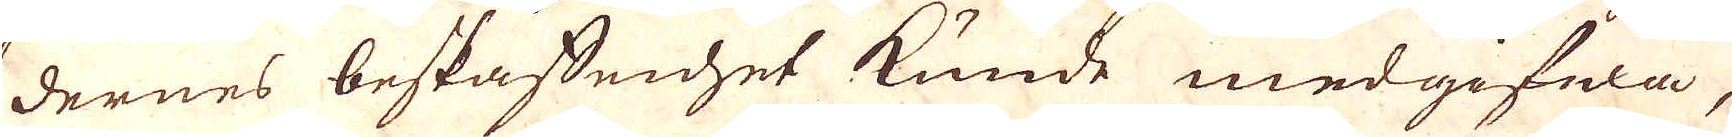dernes beskaffenhet kunde medgifwa,
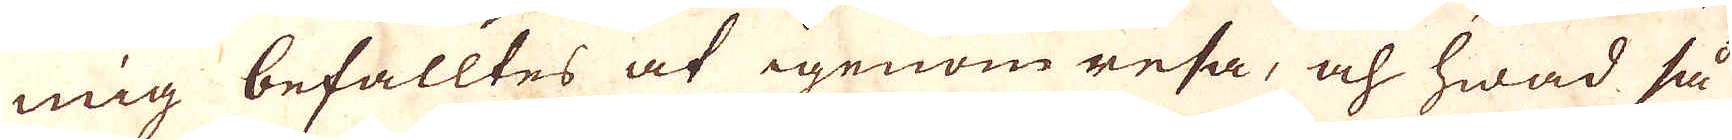mig befalltes at igenom resa, och hwad så
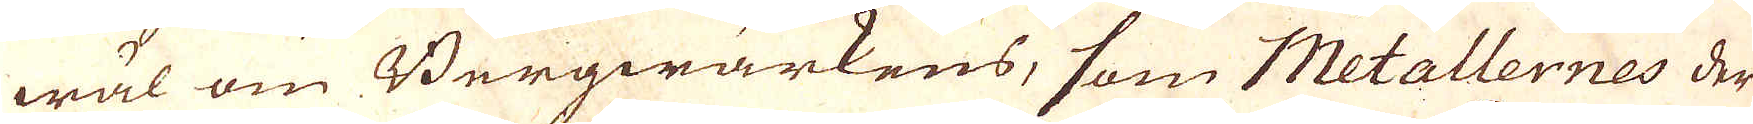wäl om Bergwärkens, som Metallernes der
